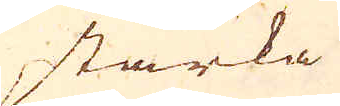starka
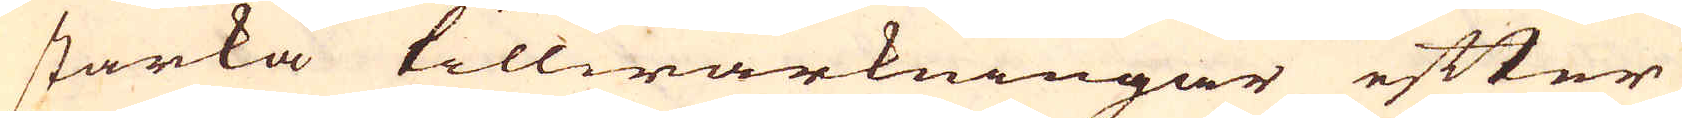starka tillwärkningar efter
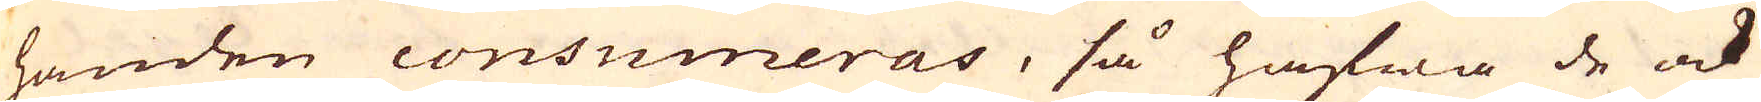handen consumeras, så hafwa de ock
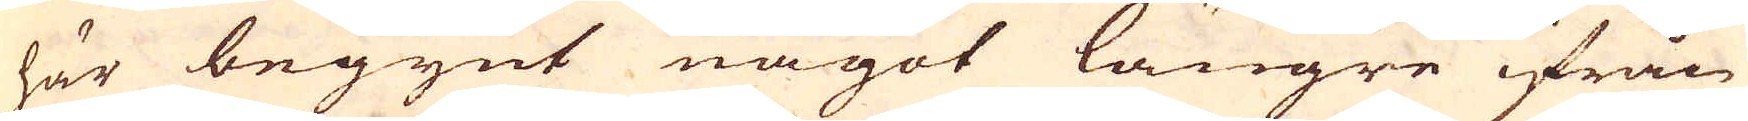här begynt något längre ifrån
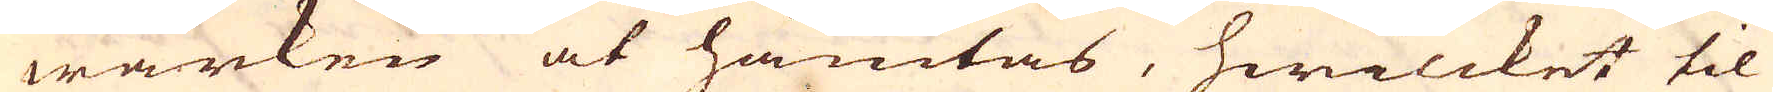wärken at hämtas, hwilcket til
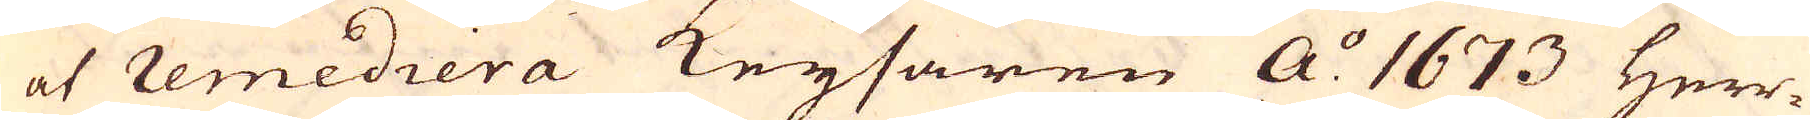at remediera Keysaren a:o 1673 Herr-
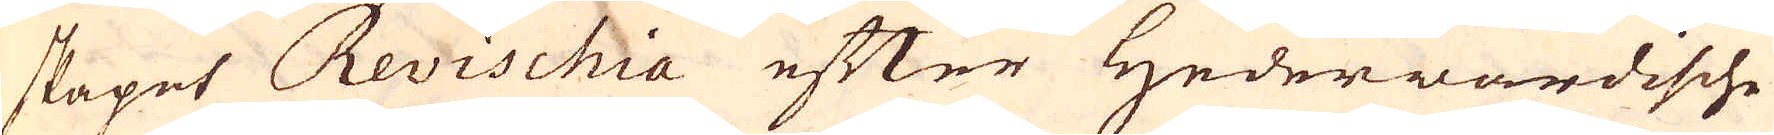skapet Revischia efter Hedervardische
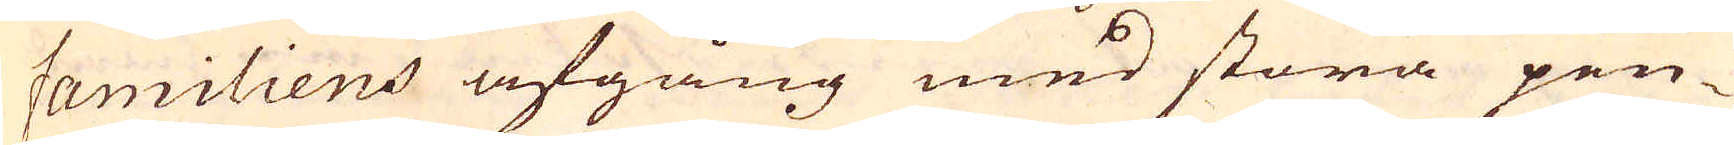familiens afgång med stora pen-
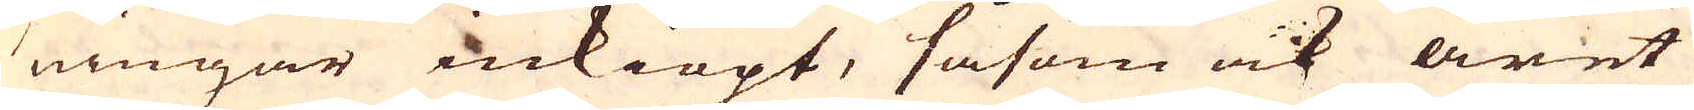ningar inkiöpt, såsom ock året
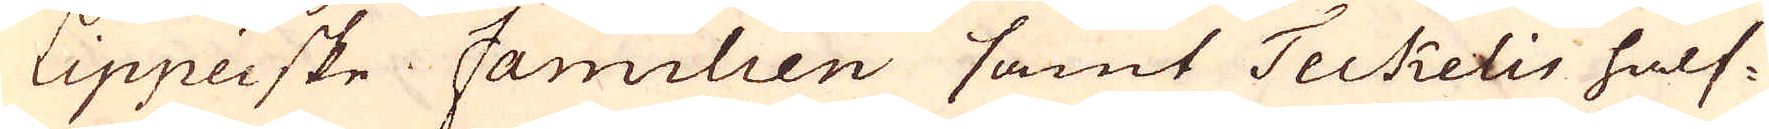lippeiske familien samt Teckelis half-
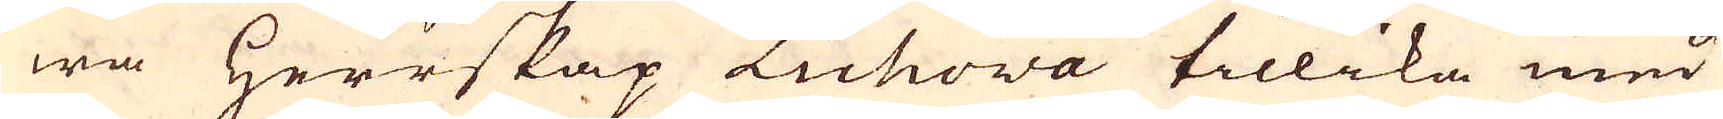wa Herrskap Lichova tillika med
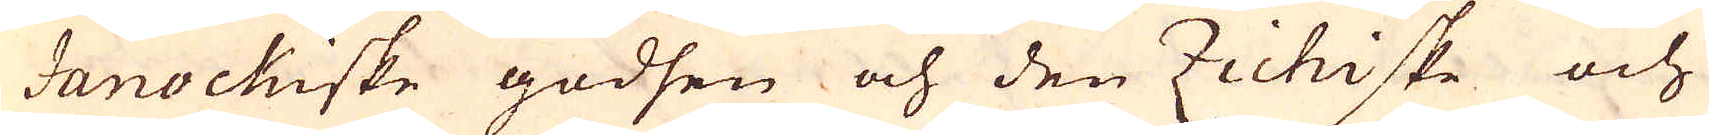Janockiske godsen och den Zichiske och
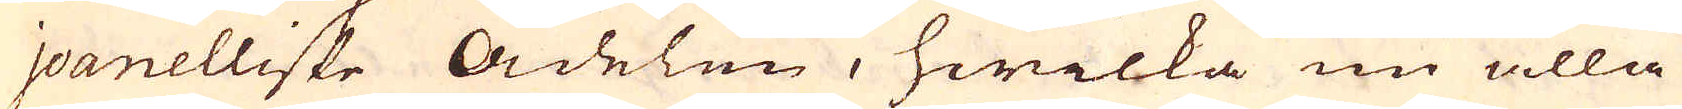joanelliske adelen, hwilka nu alla
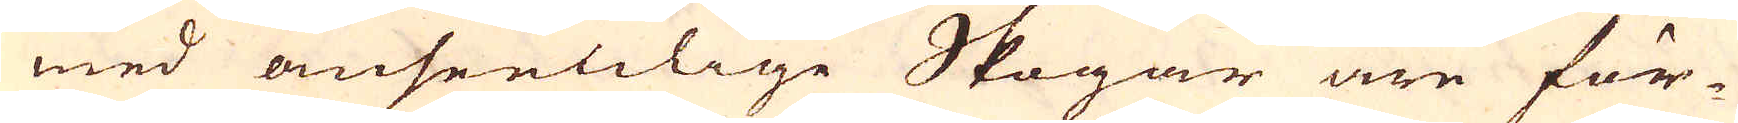med amseenlige Skogar äre för-
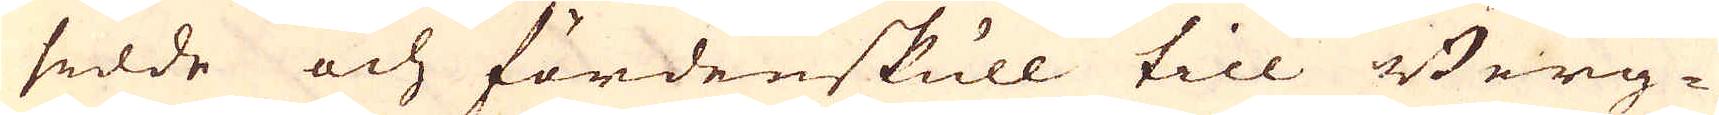sedde och fördenskull till Berg-
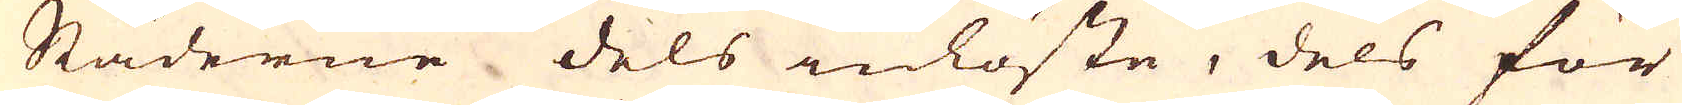Städerne dels inlöste, dels för
